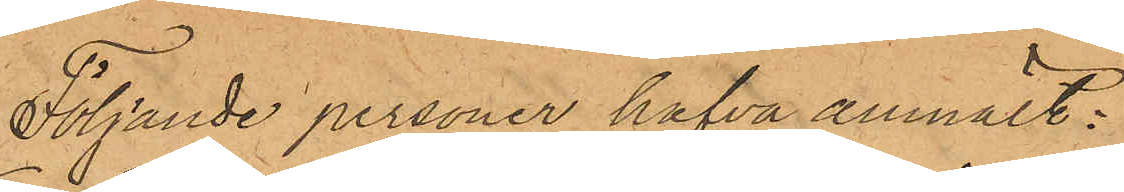Följande personer hafva anmält:
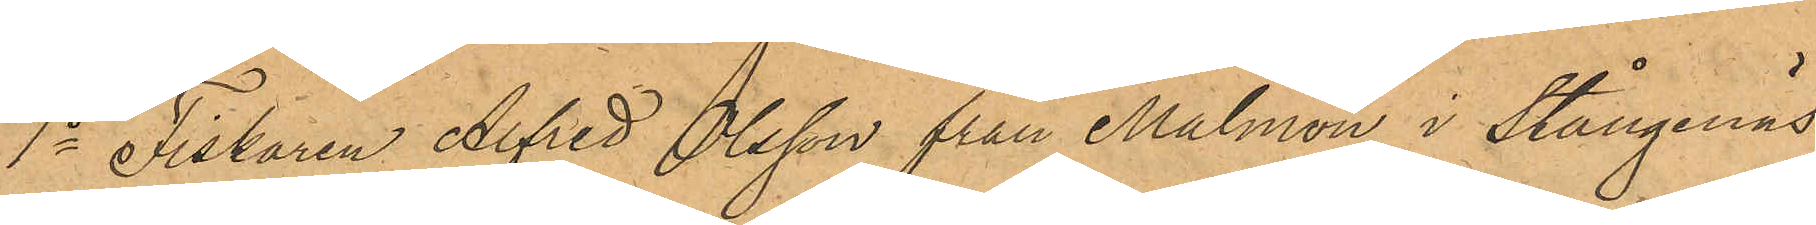1o Fiskaren Alfred Olsson från Malmön i Stångenäs
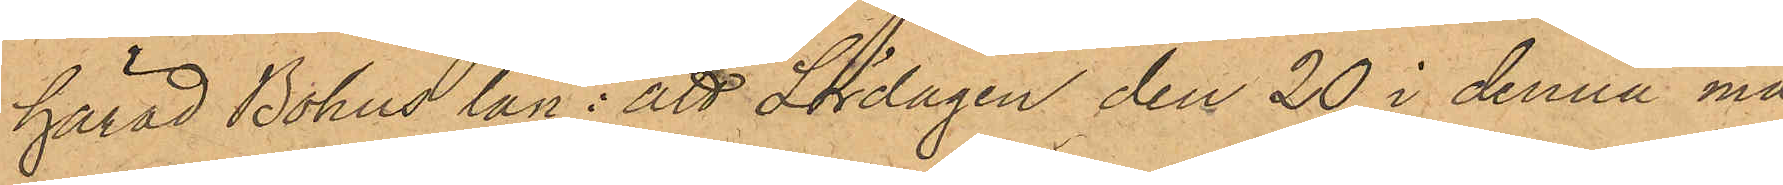härad Bohus län: att Lördagen den 20 i denna må¬
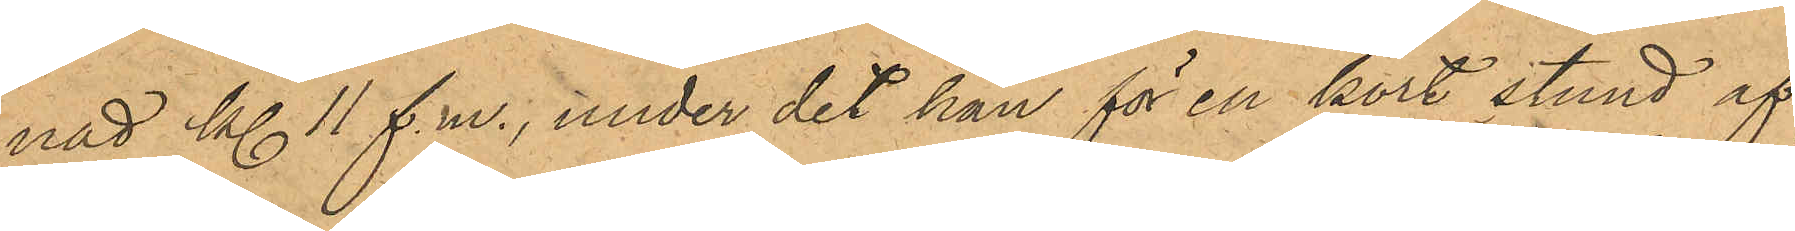nad kl 11 f.m., under det han för en kort stund af¬
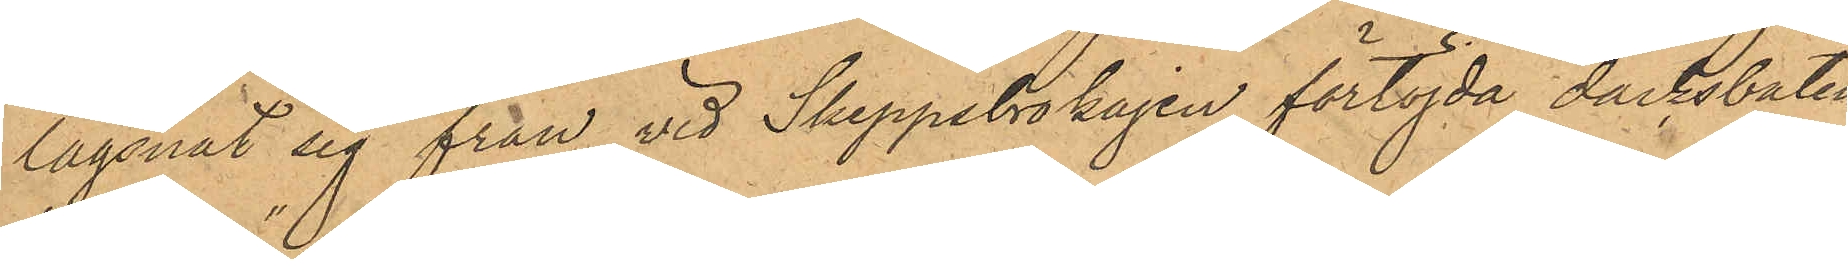lägsnat sig från vid Skeppsbrokajen förtöjda däcksbåten
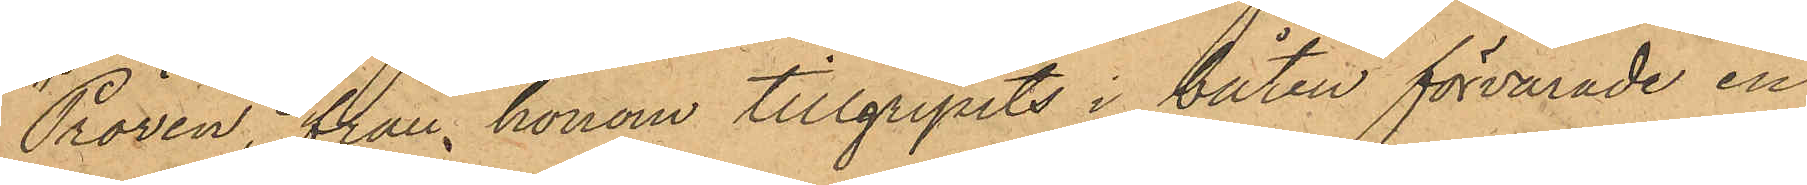"Pröven", från honom tillgripits i båten förvarade en
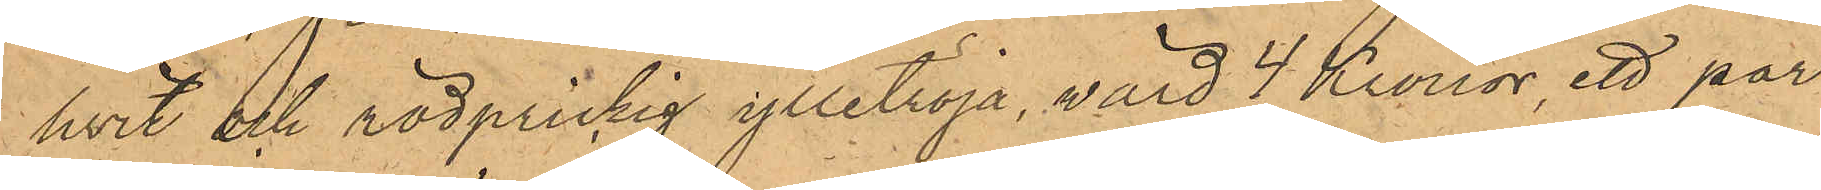hvit och rödprickig ylletröja, värd 4 Kronor, ett par
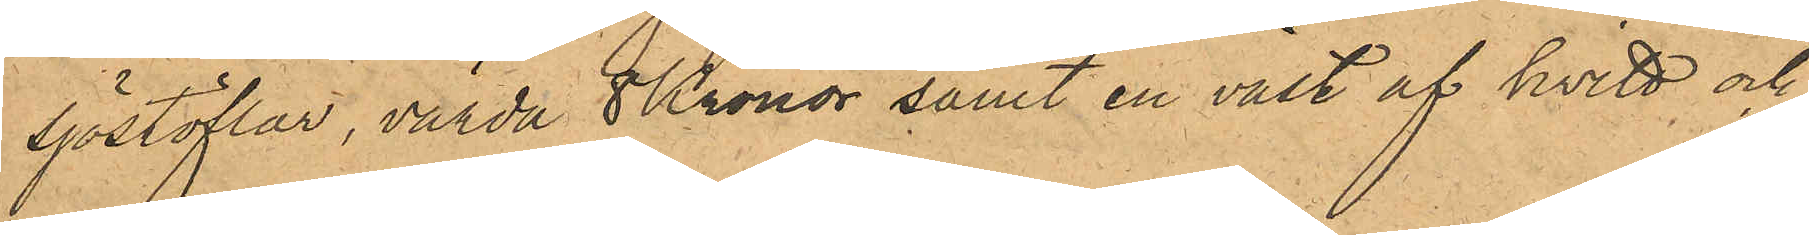sjöstöflar, värda 8 Kronor samt en väst af kvitt, och
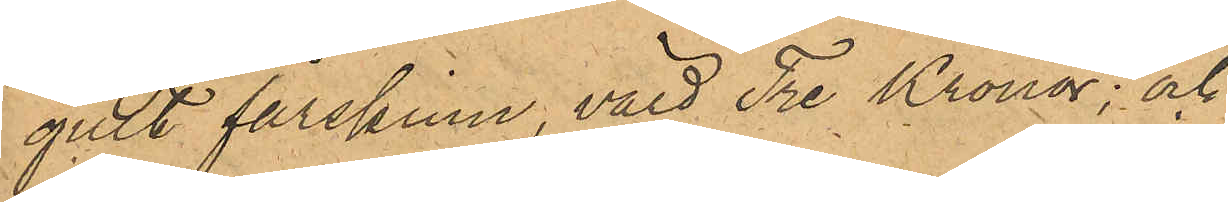gult fårskinn värd Tre Kronor; och
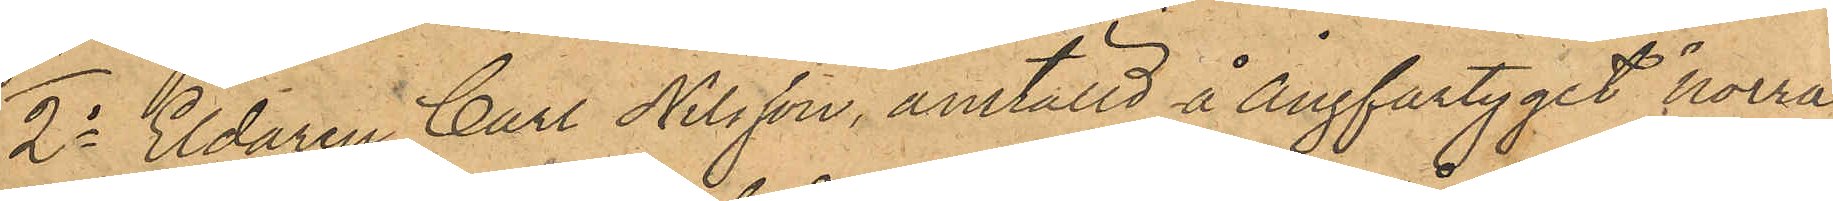2o Eldaren Carl Nilsson, anställd å Ångfartyget "Norra
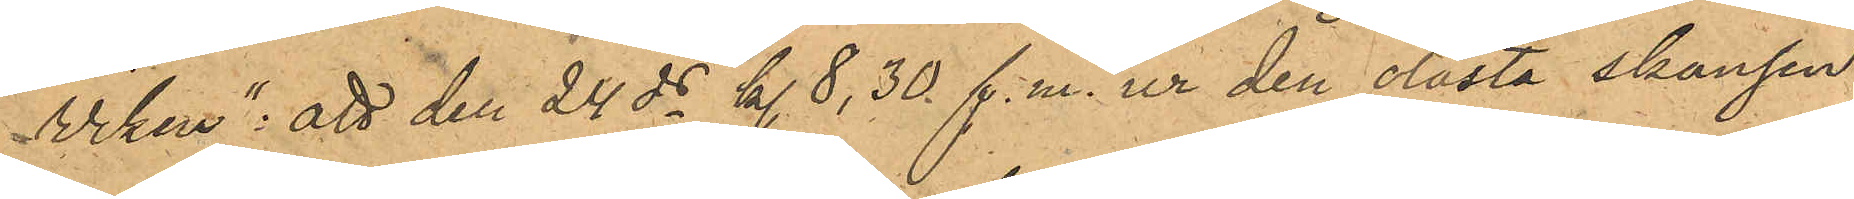Wiken": att den 24 ds kl. 8,30 f.m. ur den olåsta skansen
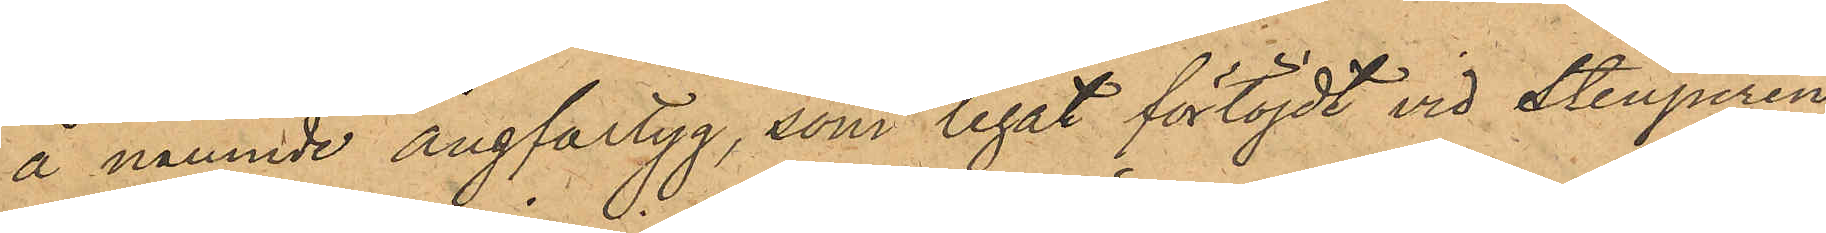å nämnde ångfartyg, som legat förtöjdt vid Stenpiren
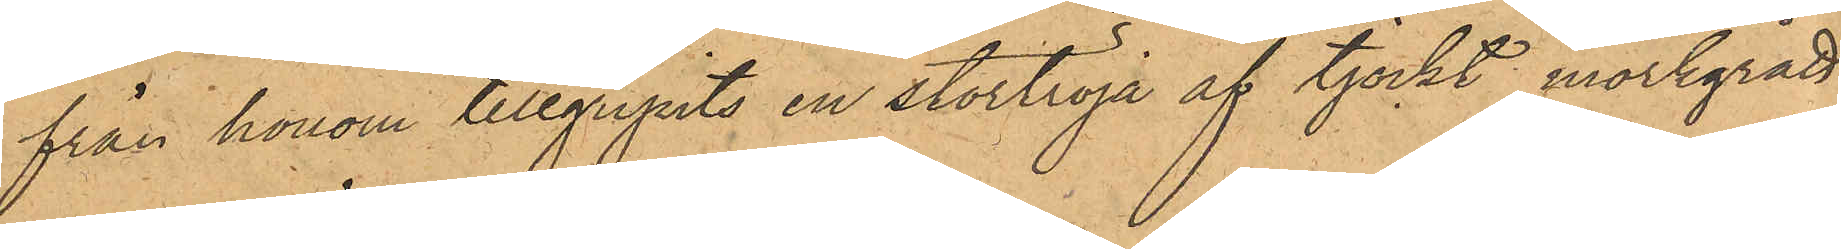från honom tillgripits en stortröja af tjockt mörkgrått
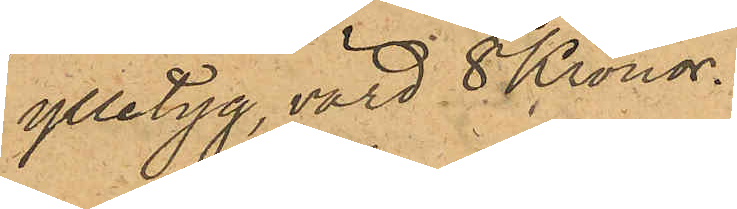ylletyg, värd 8 Kronor.
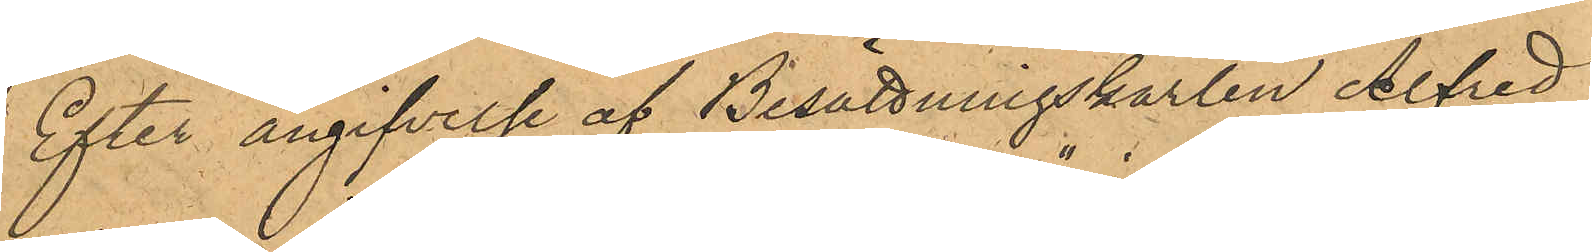Efter angifvelse af Besättningskarlen Alfred
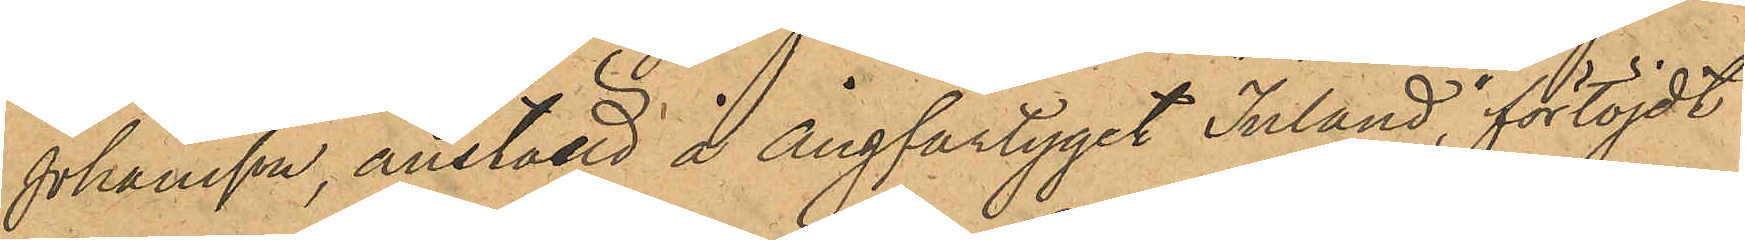Johansson, anställd å ångfartyget "Inland", förtöjdt
